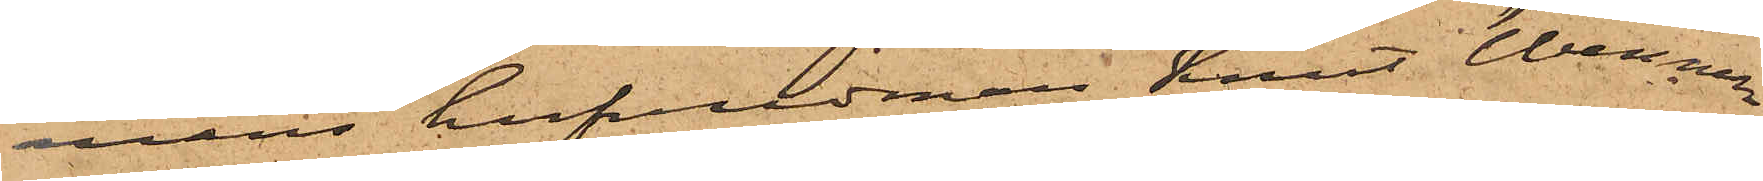mans hufvudman Knut Wenner¬
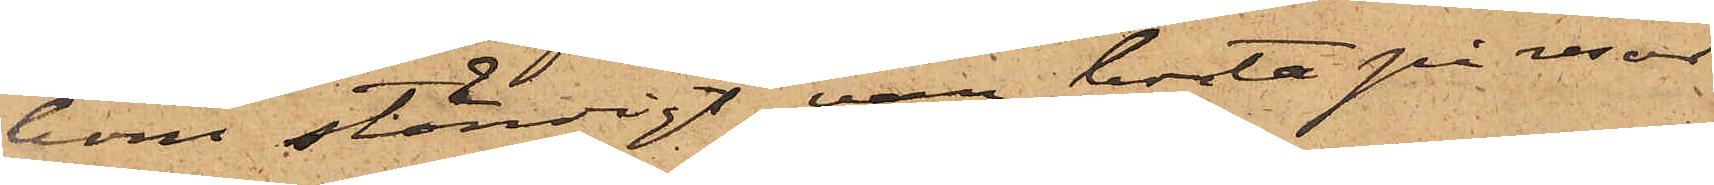bom ständigt var borta på resor
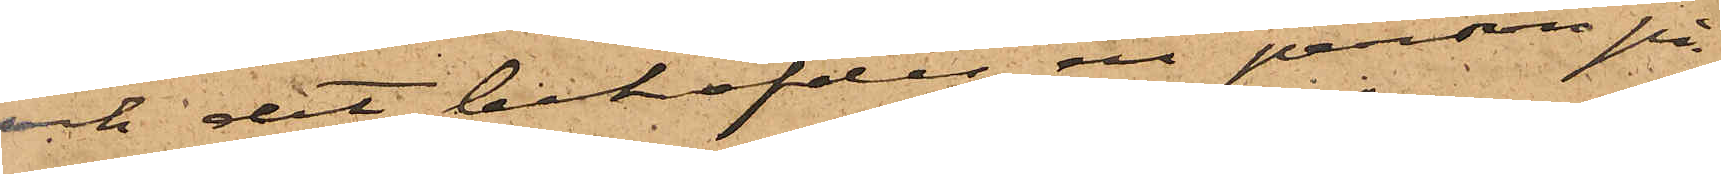och det behöfdes en person på
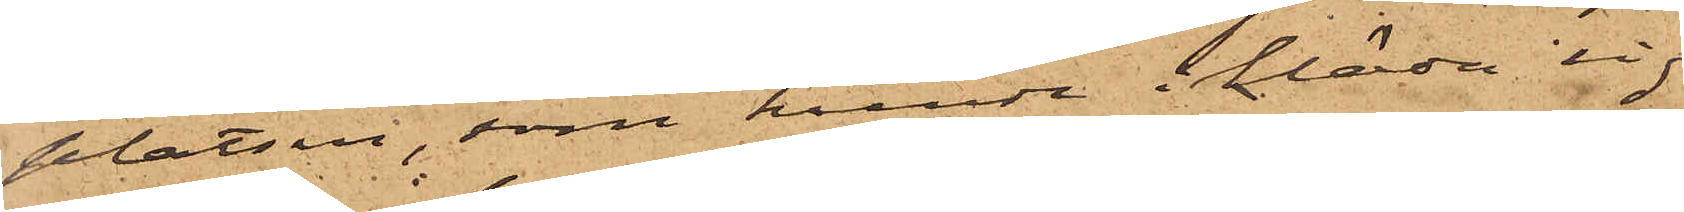platsen, som kunde ikläda sig
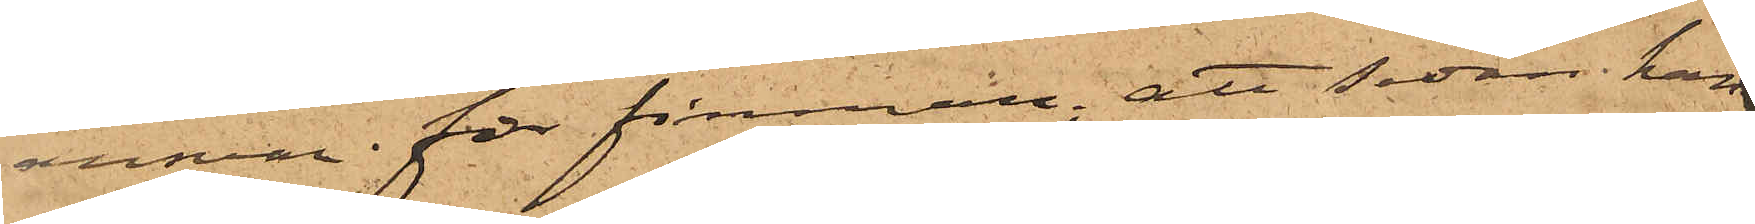ansvar för firman; att sedan han
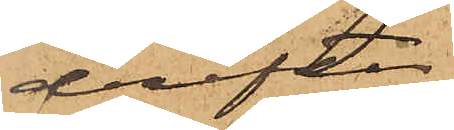derefter
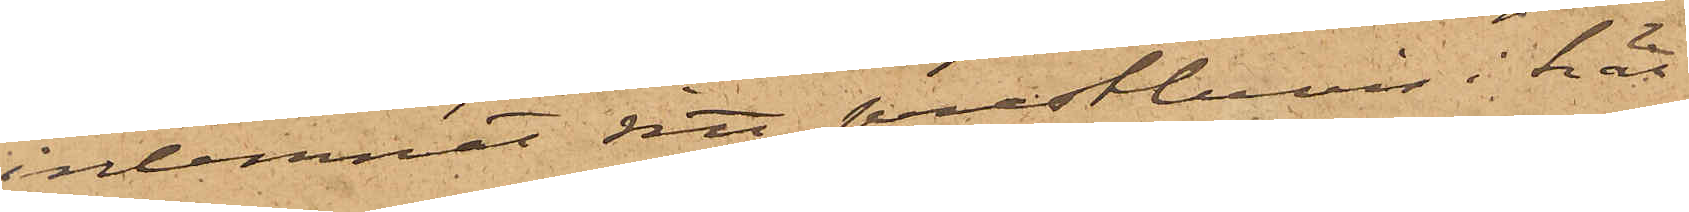inlemnat sitt prestbevis i här¬
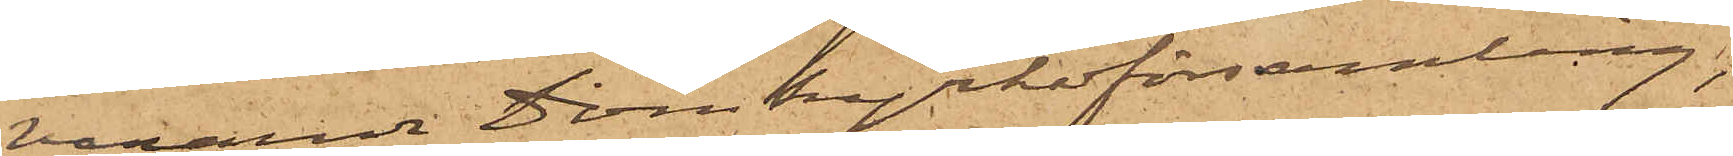varande Domkyrkoförsamling,
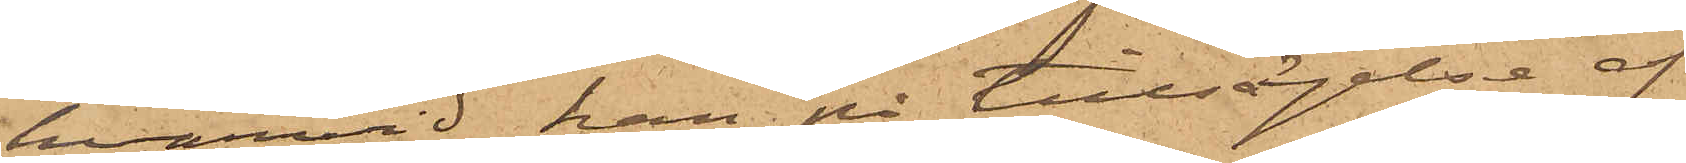hvarvid han på tillsägelse af
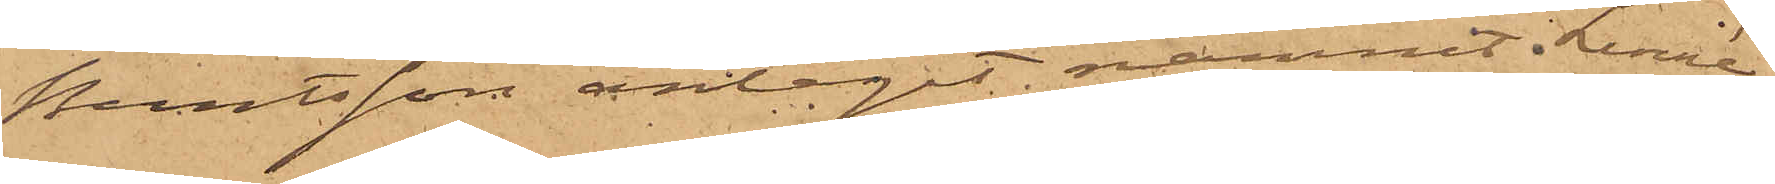Berntsson antagit namnet i Linné,
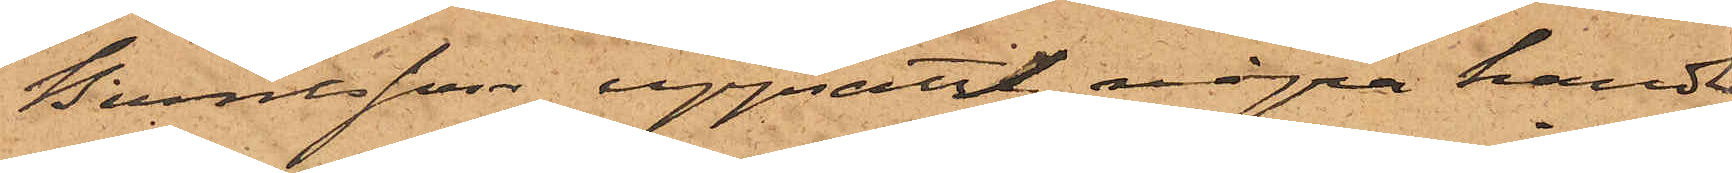Berntsson uppsatt några handlin¬
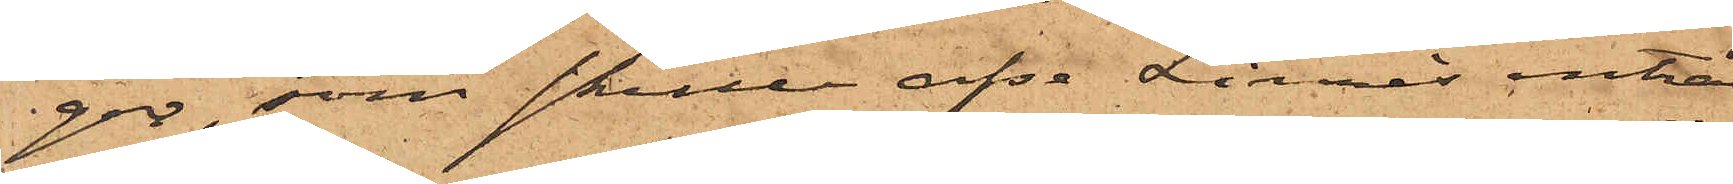gar, som skulle afse Linnès inträde
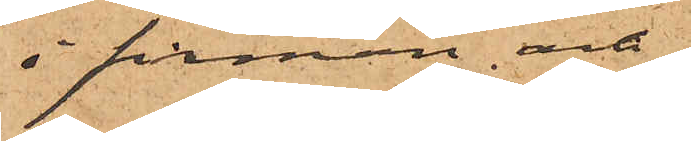i firman och
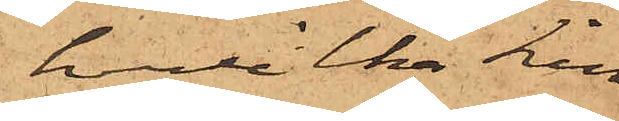hvilka Linné
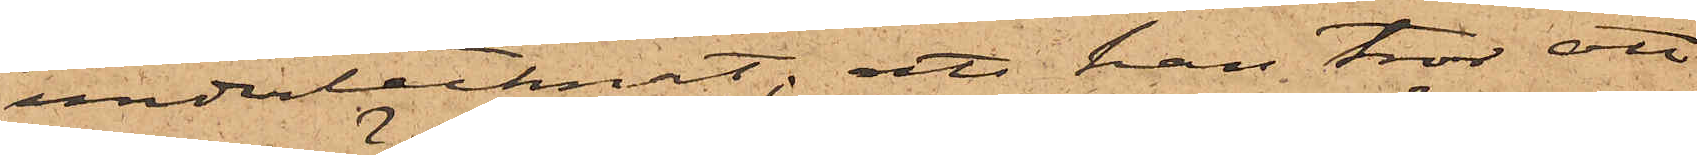undertecknat; att han tror att
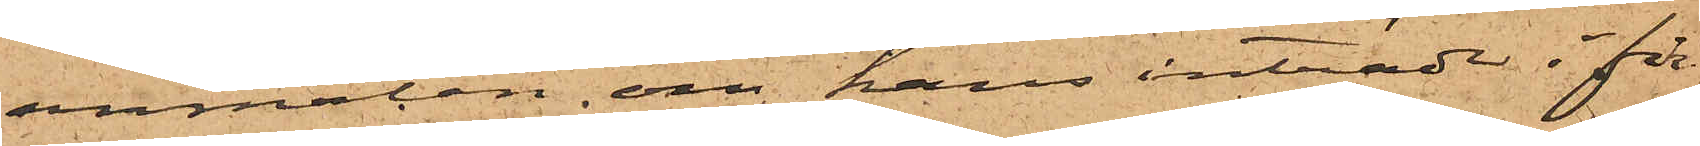anmälan om hans inträde i fir¬
